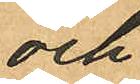och
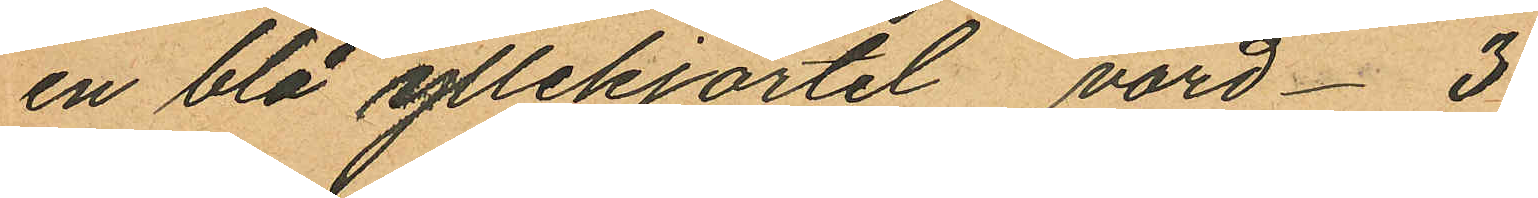en blå yllekjortel värd 3
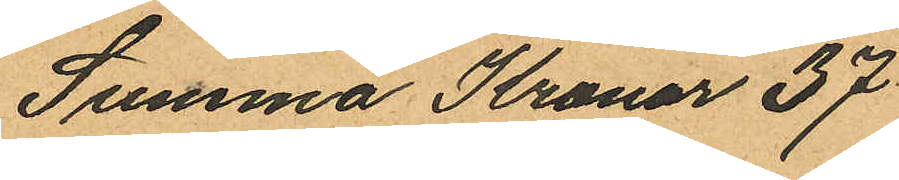Summa Kronor 37
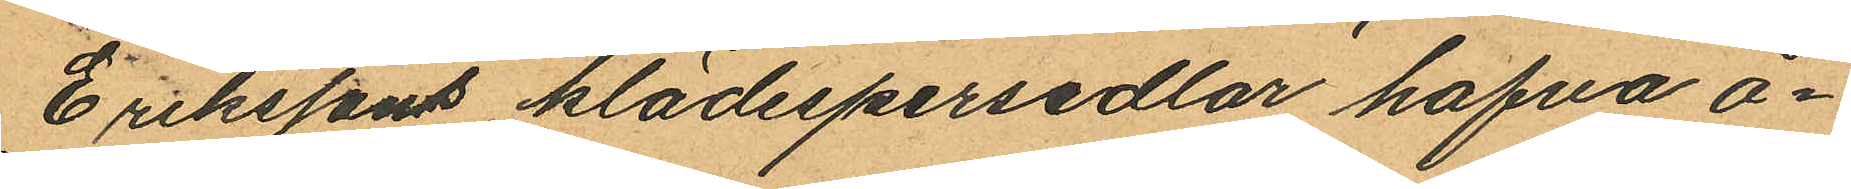Erikssons klädespersedlar hafva å¬
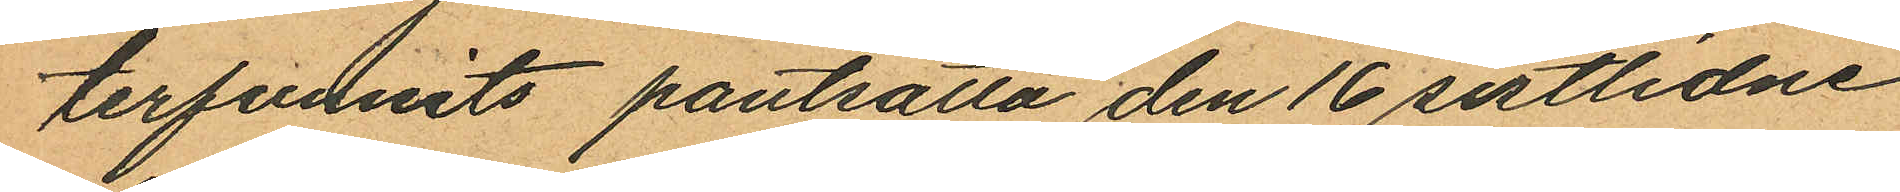terfunnits pantsatta den 16 sistlidne
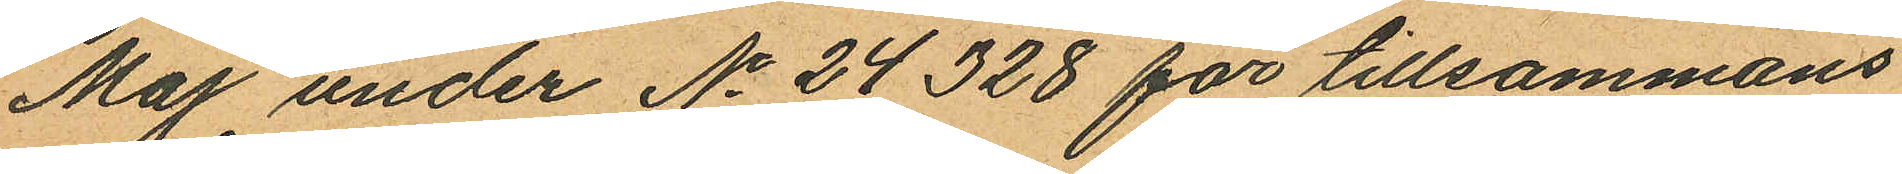Maj under No 24328 för tillsammans
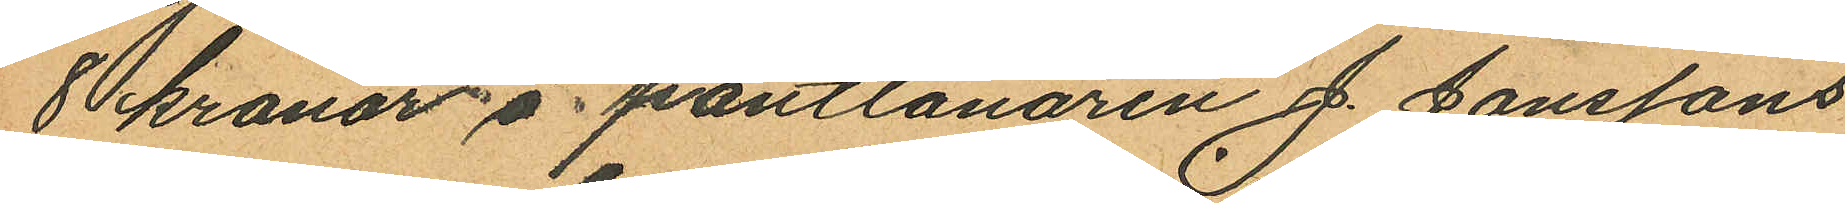8 kronor å pantlånaren J. Janssons
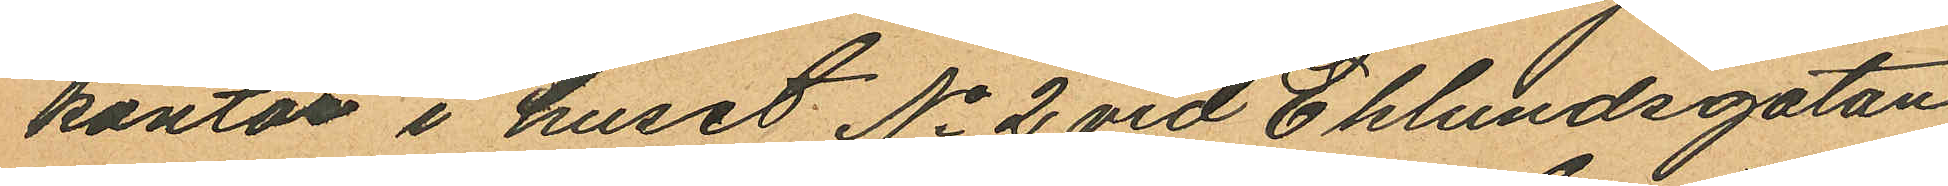kontor i huset No 2 vid Eklundsgatan
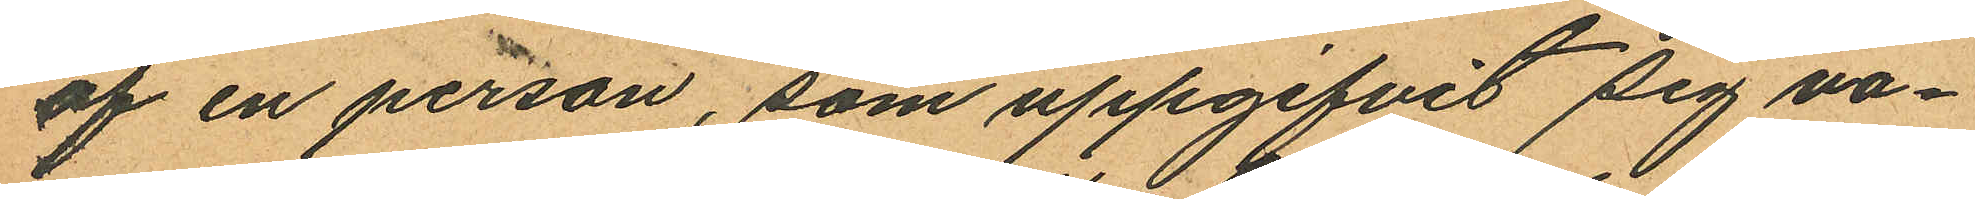af en person, som uppgifvit sig va¬
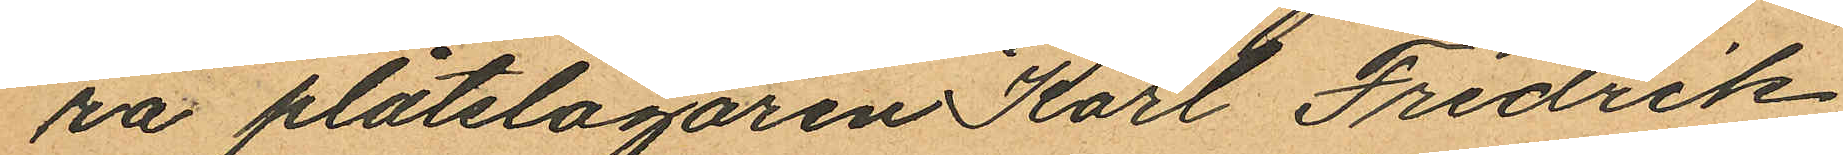ra platslagaren Karl Fredrik
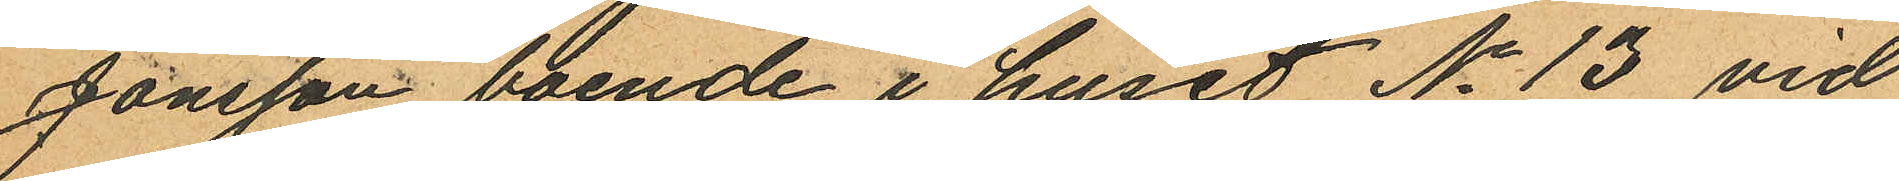Jonsson boende i huset No 13 vid
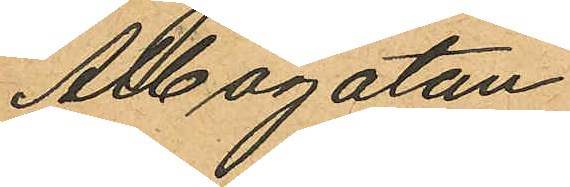Albogatan.
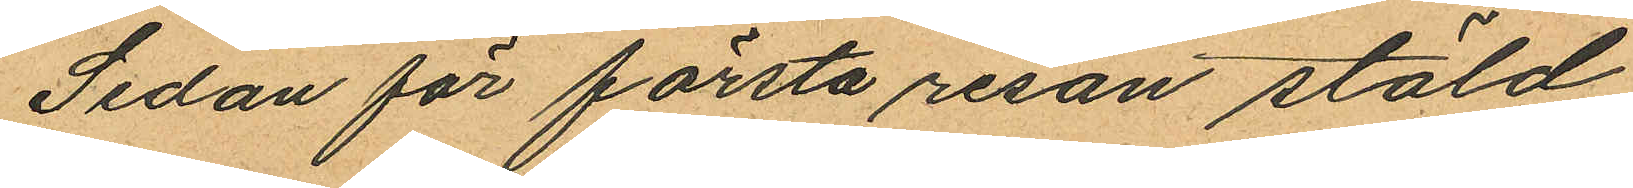Sedan för första resan stöld
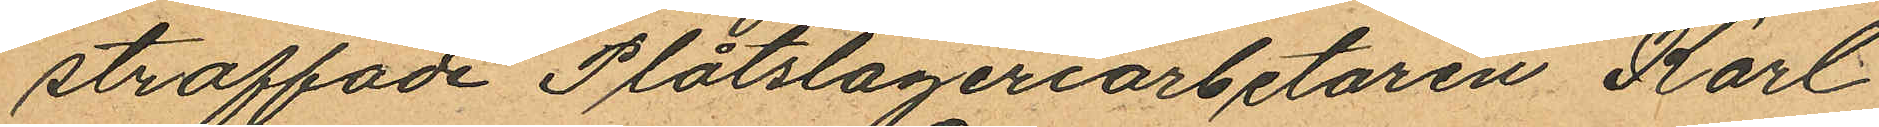straffade Plåtslageriarbetaren Karl
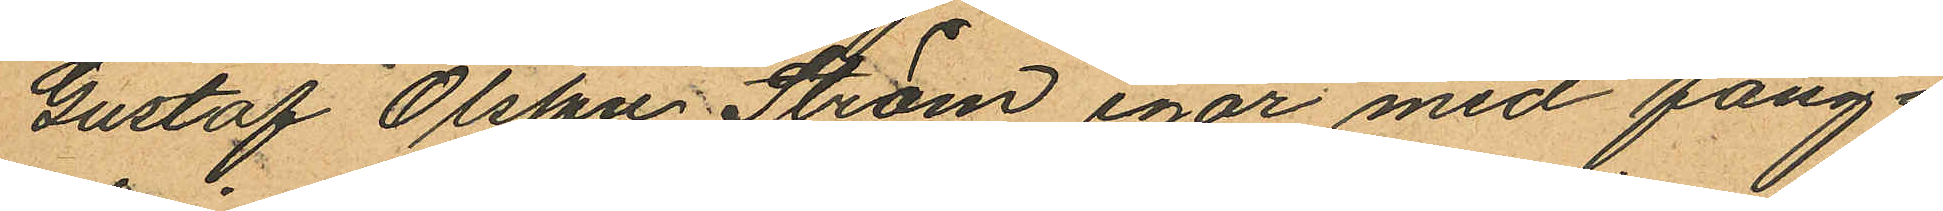Gustaf Olsson Ström igår med fång¬
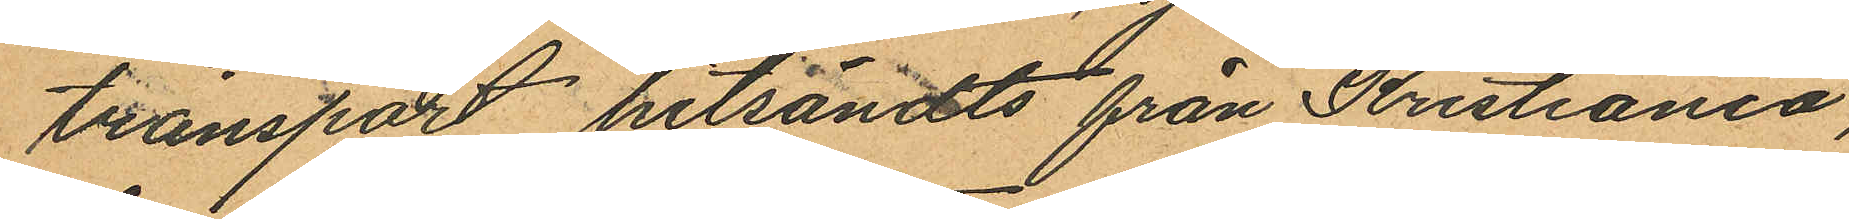transport hitsändts från Kristiania,
